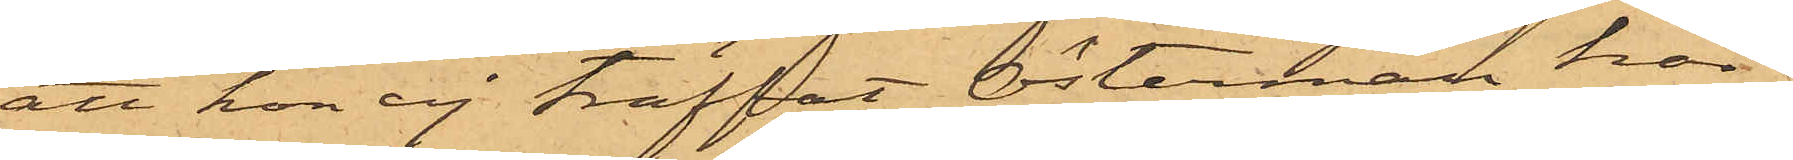att hon ej träffat Österman här i
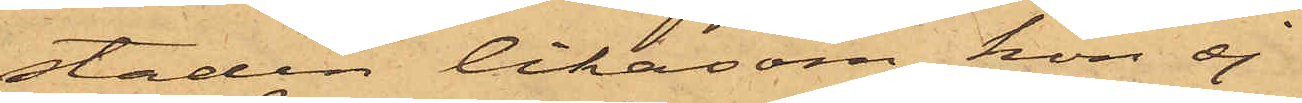staden likasom hon ej
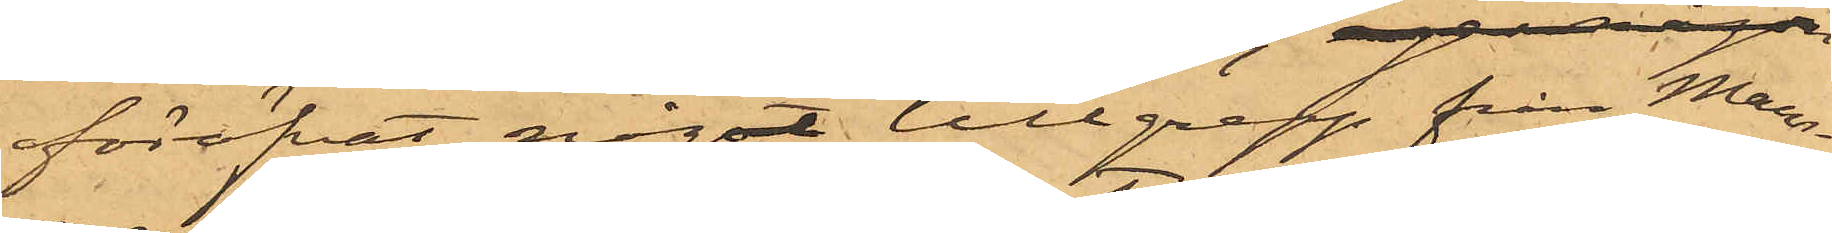föröfvat något tillgrepp från Mam¬
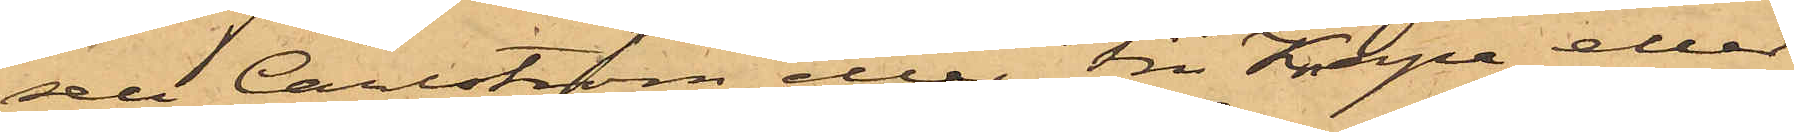sell Carlström eller Fru Knape eller
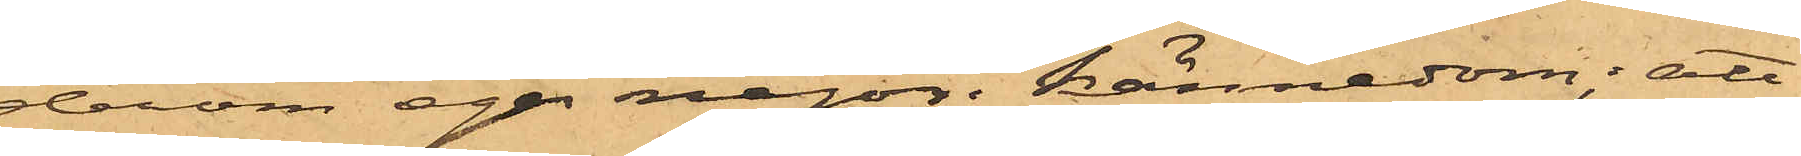derom eger någon kännedom; att
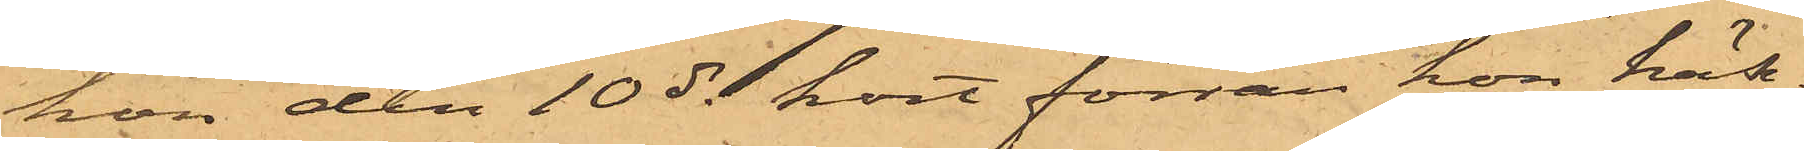hon den 10 ds kort förrän hon häk¬
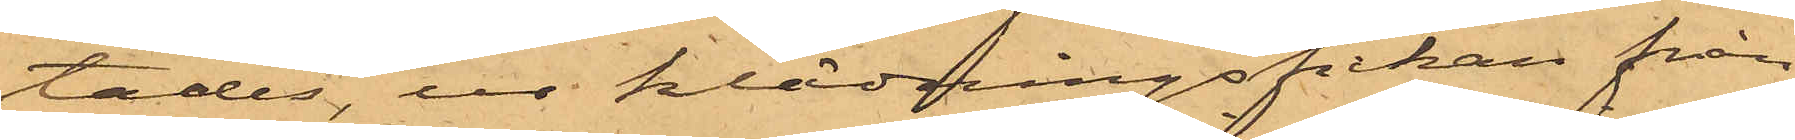tades, ur klädningsfickan från
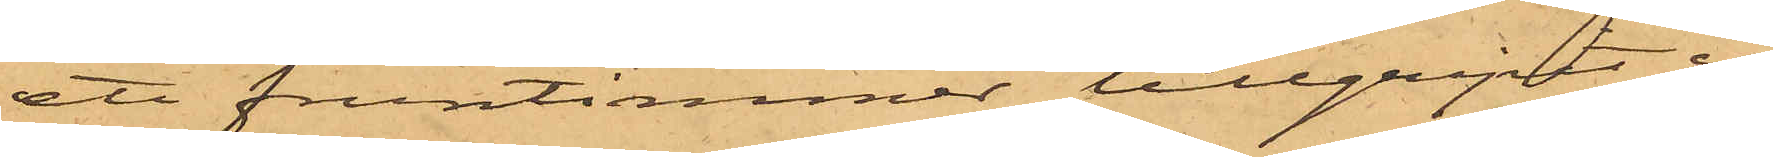ett fruntimmer tillgripit en
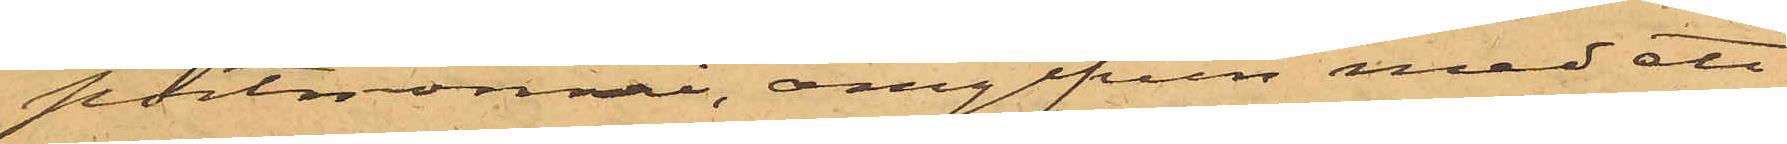portmonnai, omgifven med ett
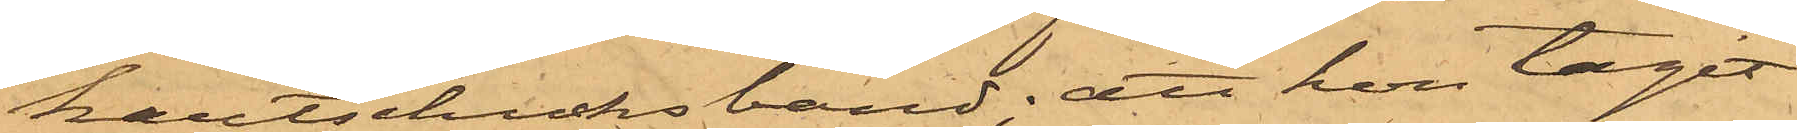kautschucksband; att hon tagit
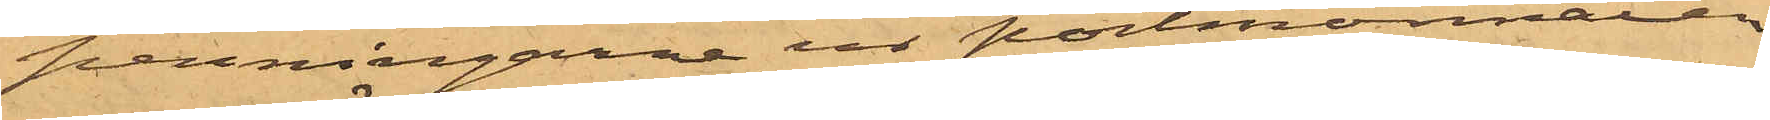penningarne ur portmonnaien
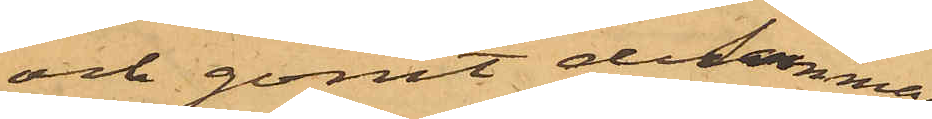och gömt desamma
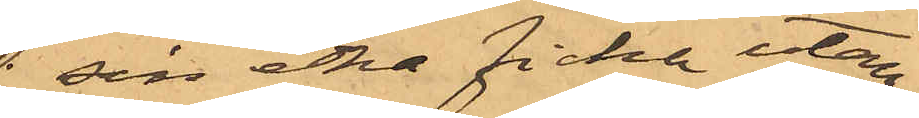sin ena ficka utan
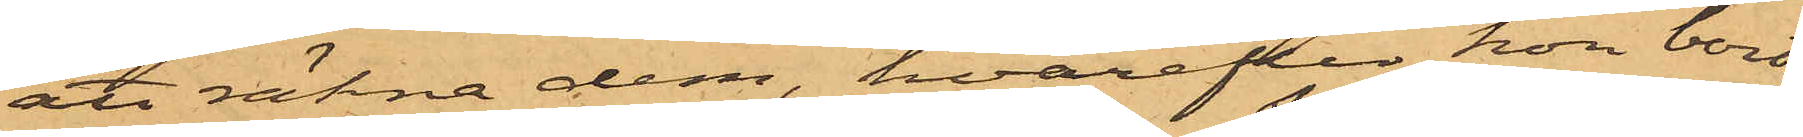att räkna dem, hvarefter hon bort¬
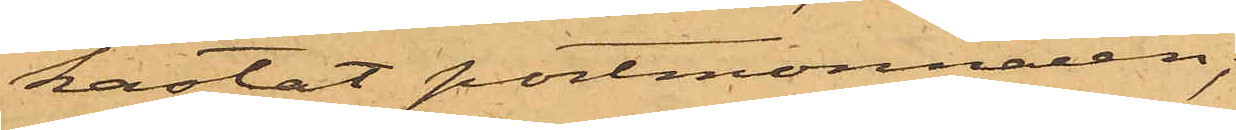kastat portmonnaien;
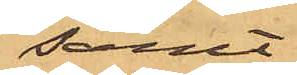samt
